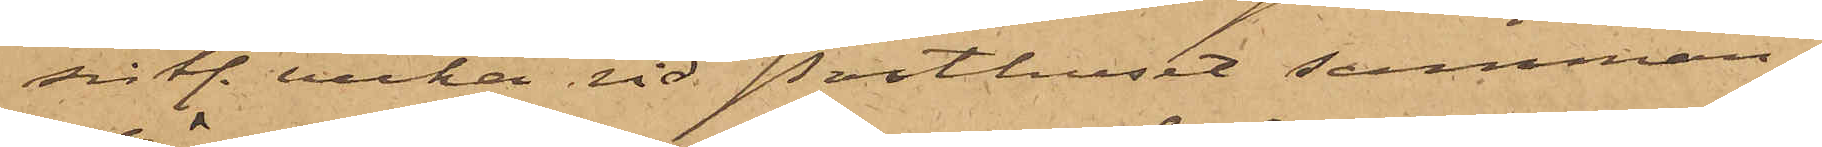sistl. vecka vid Posthuset samman¬
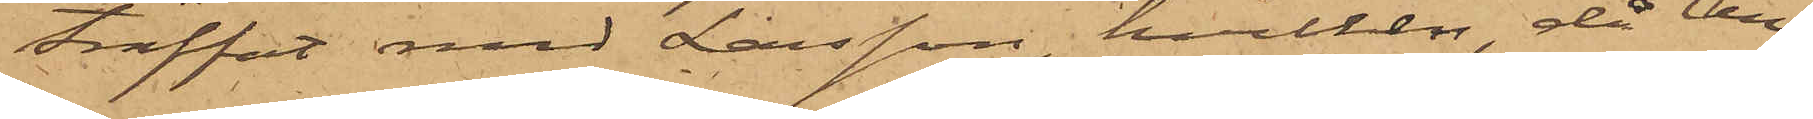träffat med Larsson, hvilken då An¬
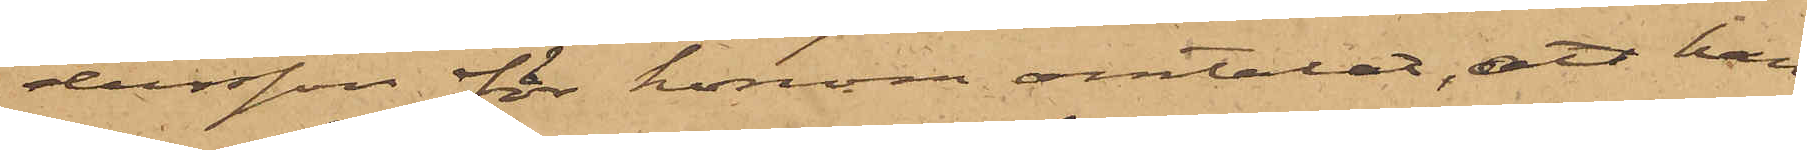dersson för honom omtalat, att han
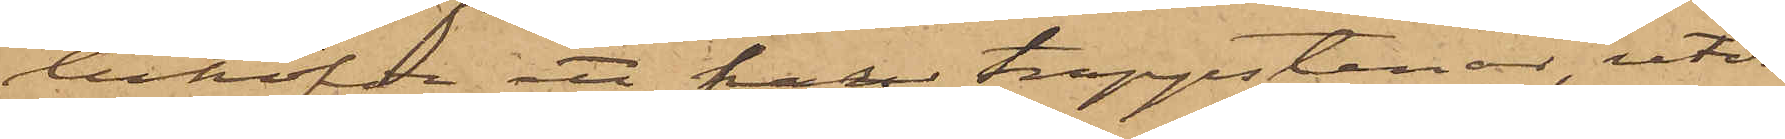behöfde ett par trappstenar, utvi¬
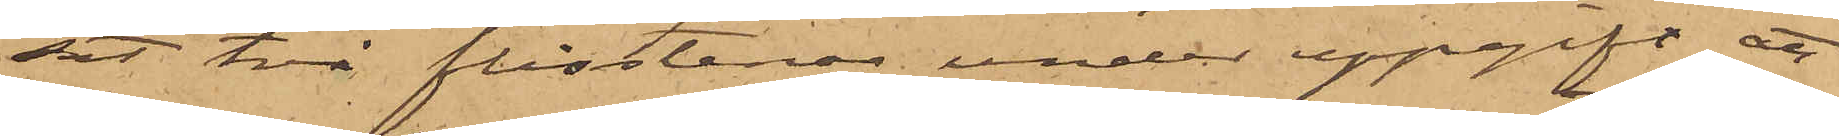sat två flisstenar under uppgift att
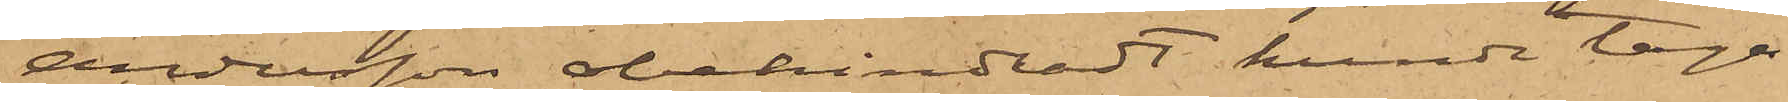Andersson obehindradt kunde taga
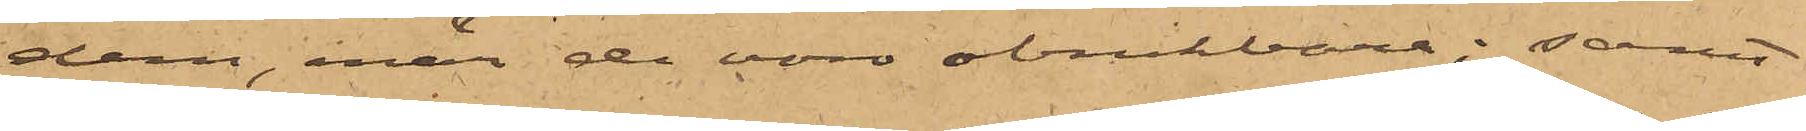dem, enär de voro obrukbara; samt
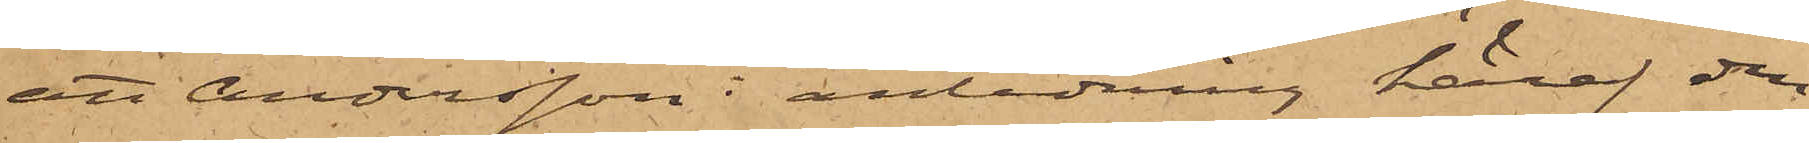att Andersson i anledning häraf den
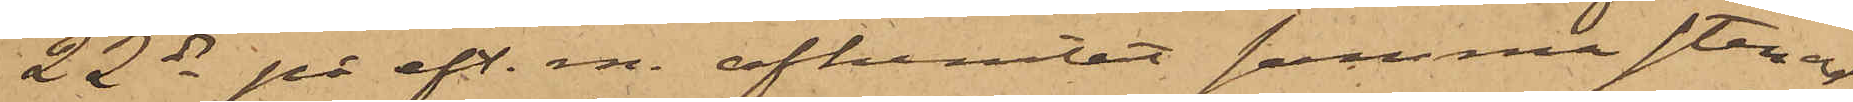22 ds på eft. m. afhemtat samma stenar,
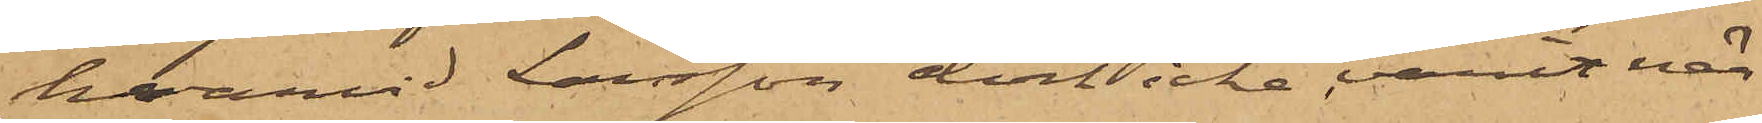hvarvid Larsson dock icke varit när¬
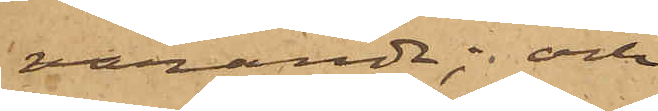varande; och
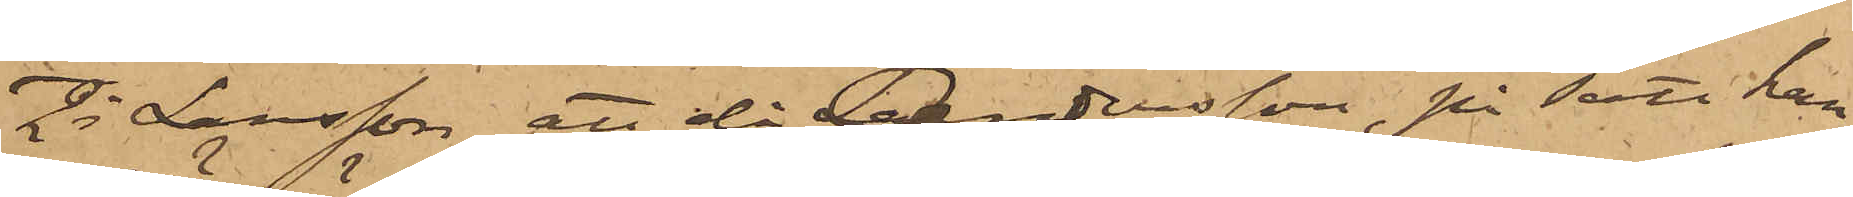2o Larsson, att då Andersson, på sätt han
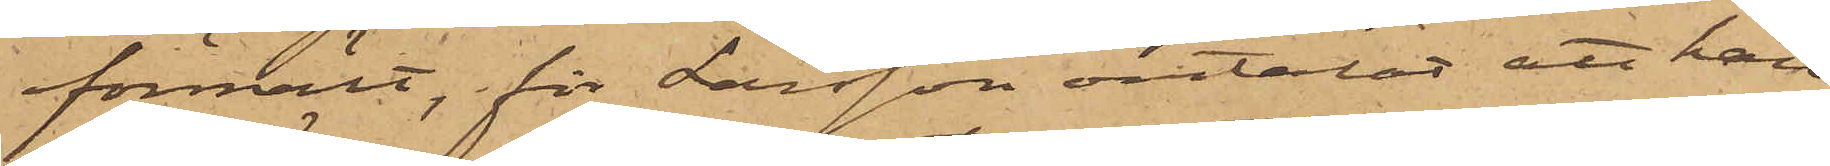förmält, för Larsson omtalat att han
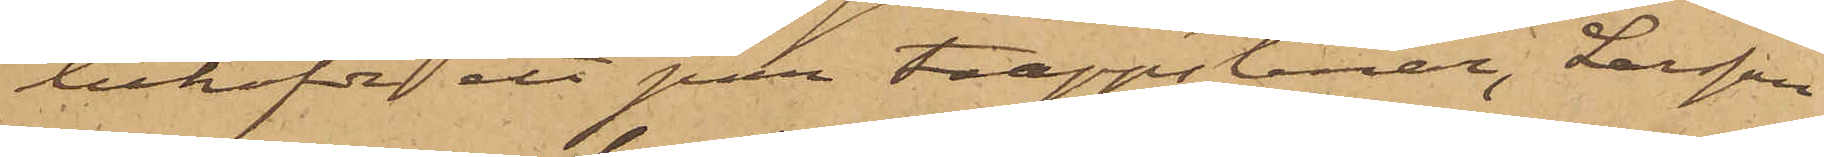behöfde ett par trappstenar, Larsson
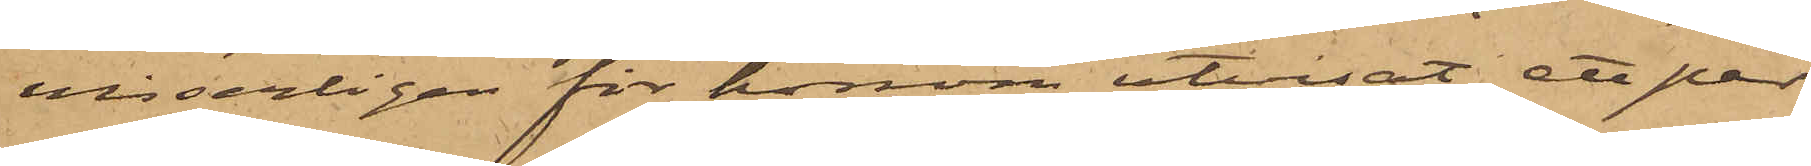visserligen för honom utvisat ett par
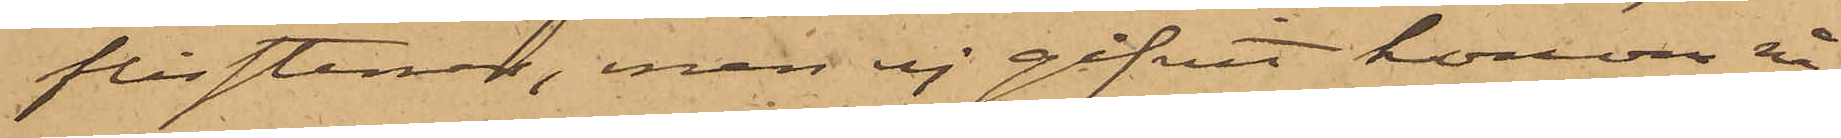flisstenar, men ej gifvit honom nå¬
